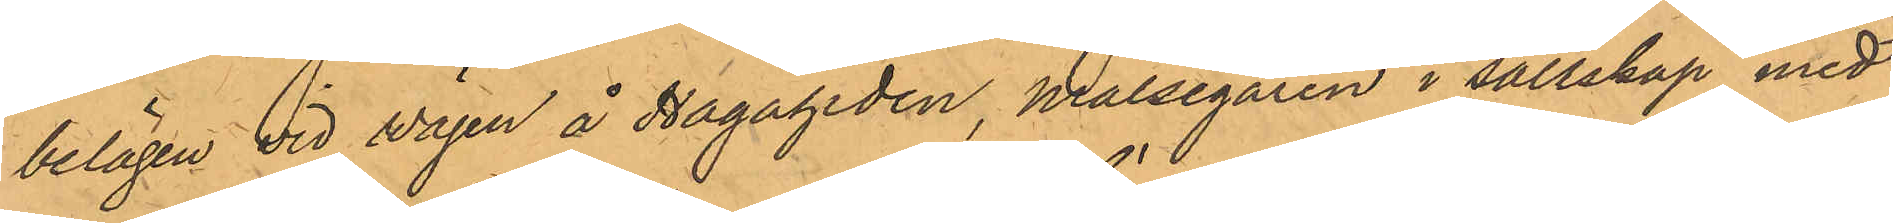belägen vid vägen å Hagaheden, Målsegaren i sällskap med
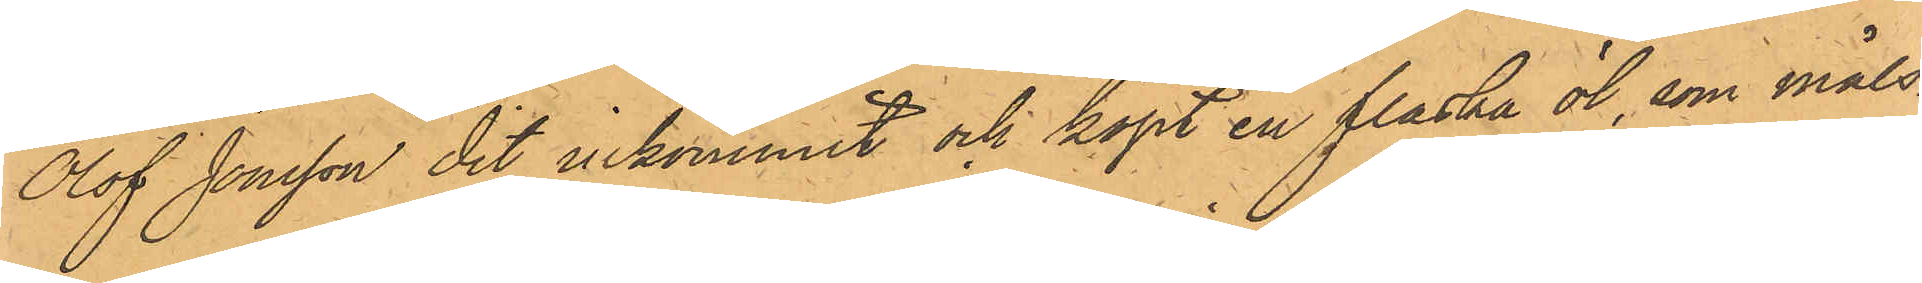Olof Jonsson dit inkommit och köpt en flaska öl, som måls¬
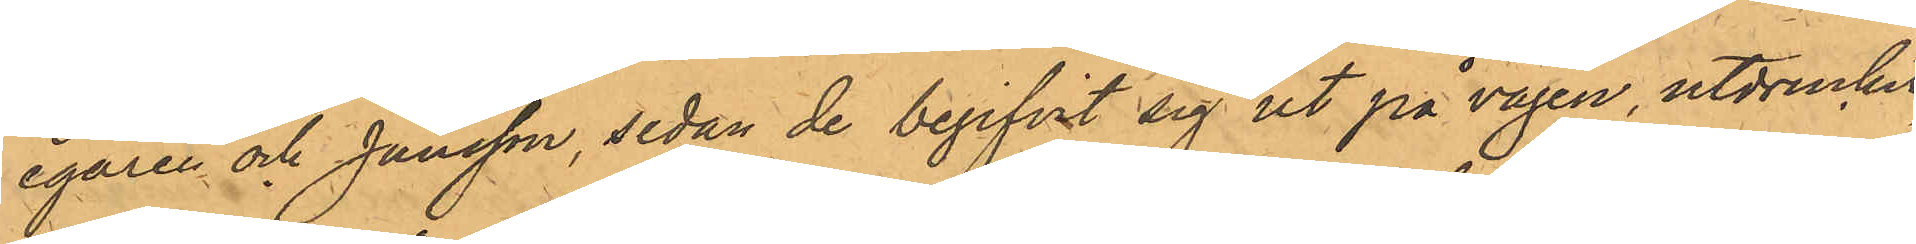egaren och Jansson, sedan de begifvit sig ut på vägen, utdruckit,
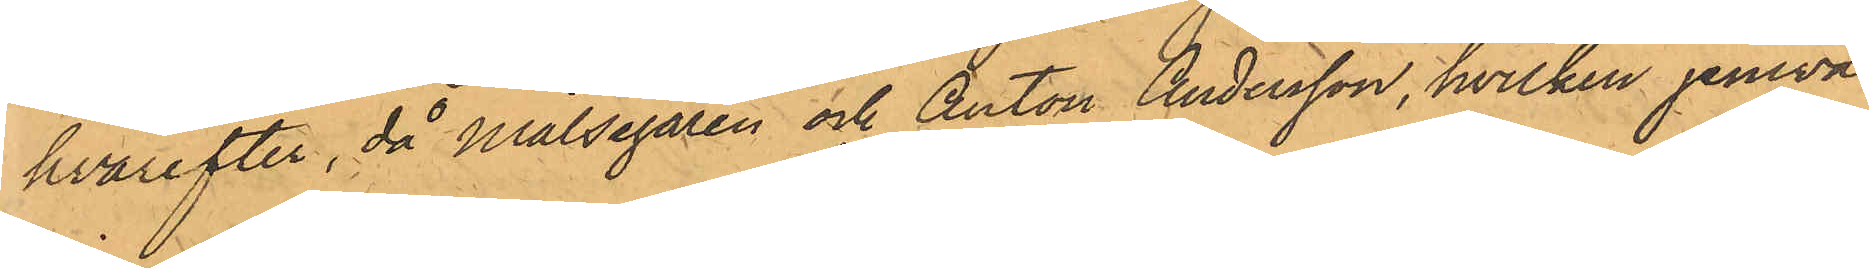hvarefter, då Målsegaren och Anton Andersson, hvilken jemväl
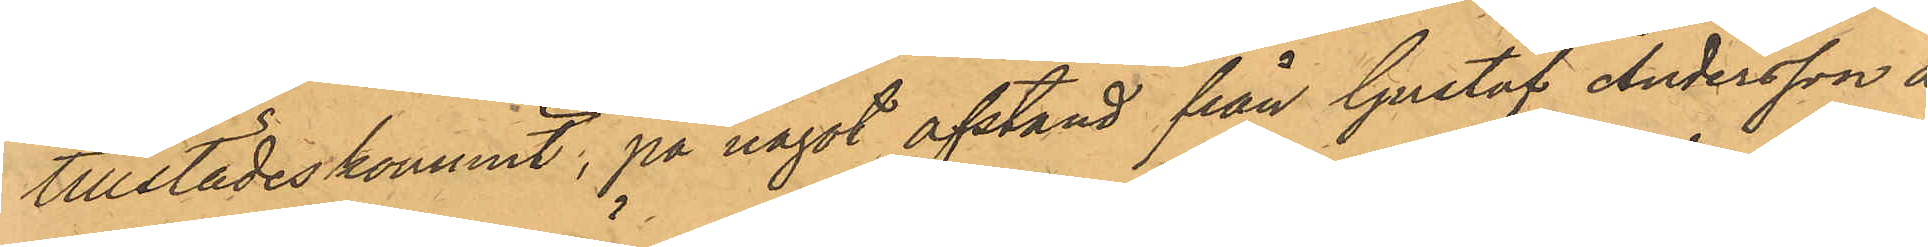tillstädeskommit, på något afstånd från Gustaf Andersson å
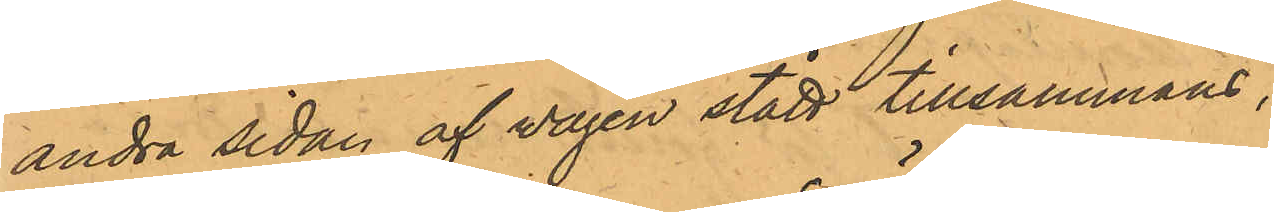andra sidan af vägen stått tillsammans,
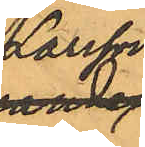Larsson
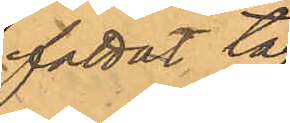fattat tag
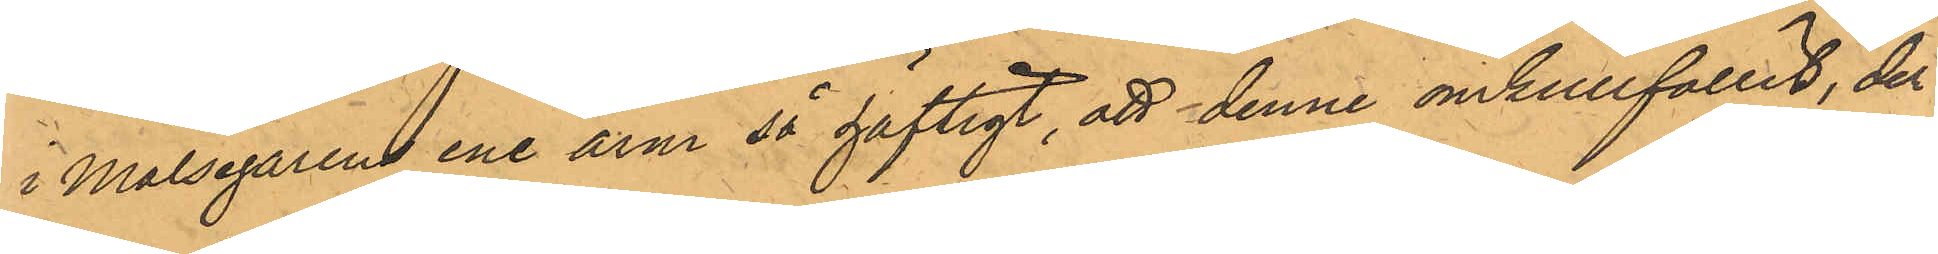i Målsegarens ene arm så häftigt, att denne omkullfallet, der¬
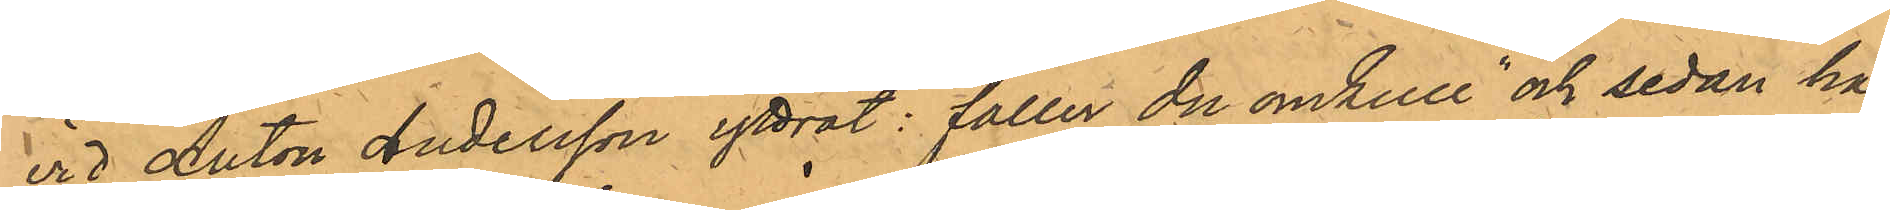vid Anton Andersson yttrat: "faller du omkull" och sedan han
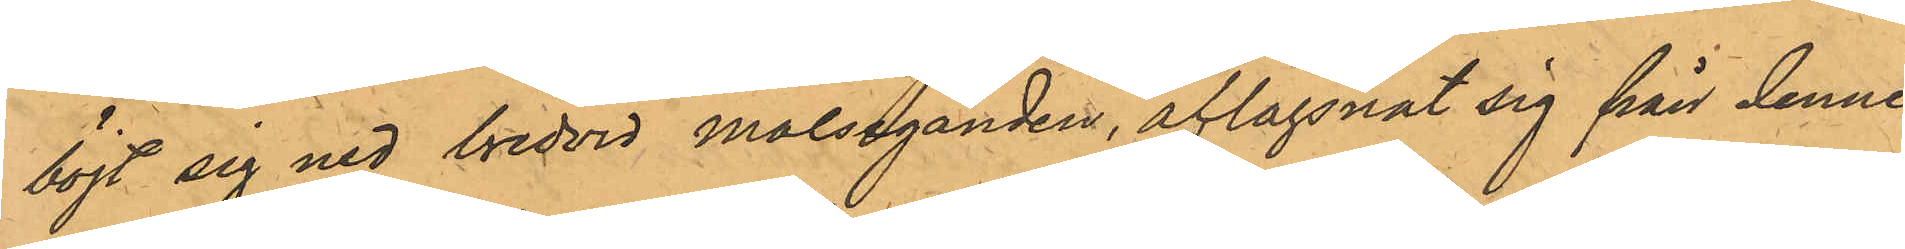böjt sig ned bredvid målseganden, aflägsnat sig från denne,
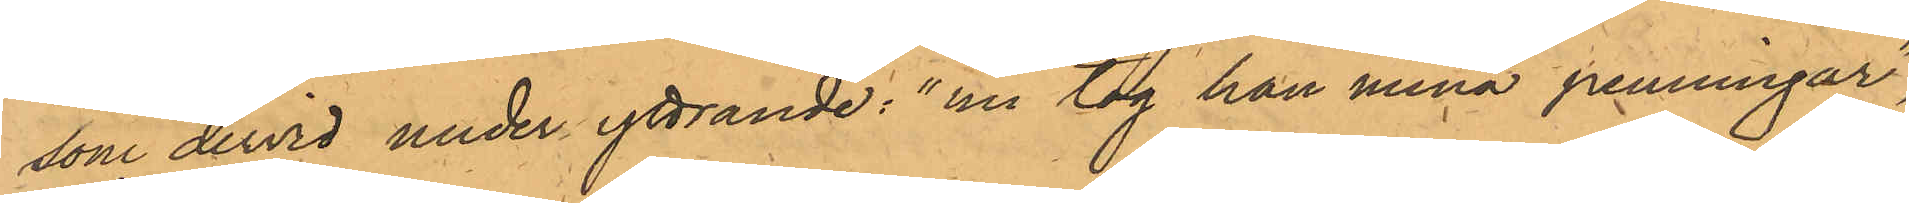som dervid under yttrande: "nu tog han mina penningar",
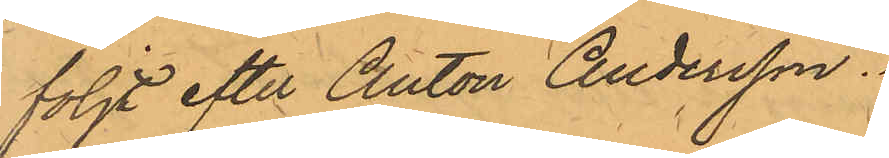följt efter Anton Andersson.
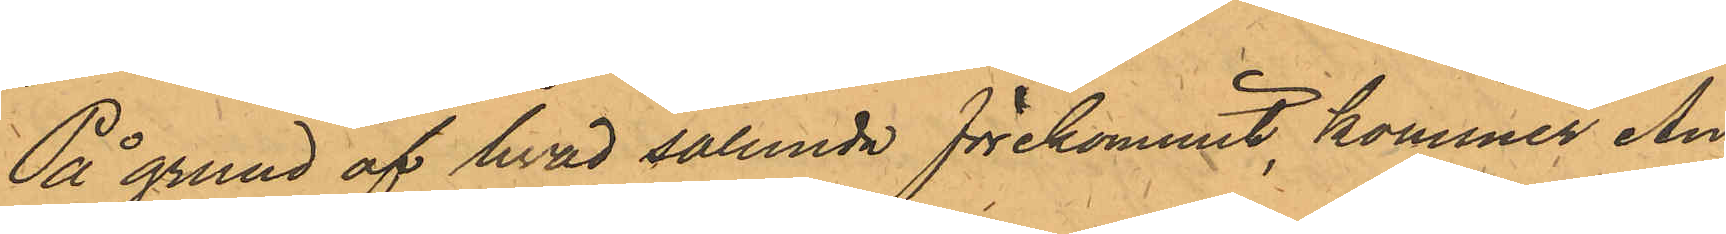På grund af hvad sålunda förekommit, kommer An¬
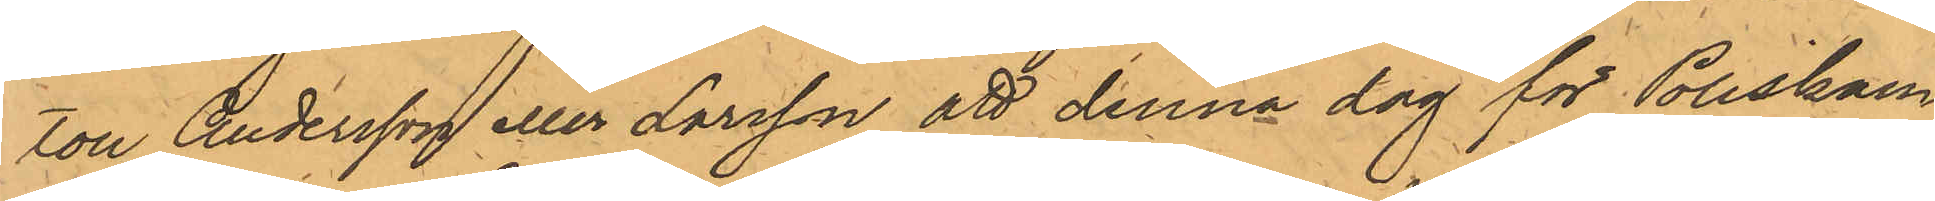ton Andersson eller Larsson att denna dag för Poliskam¬
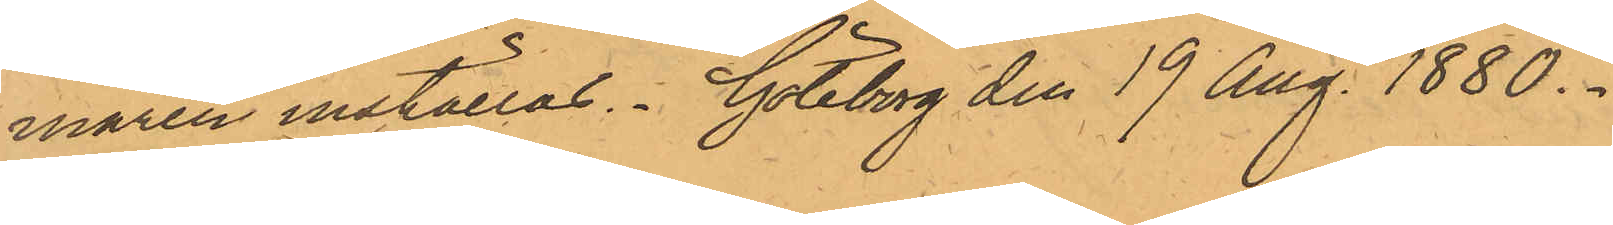maren inställas. Göteborg den 19 Aug. 1880.
